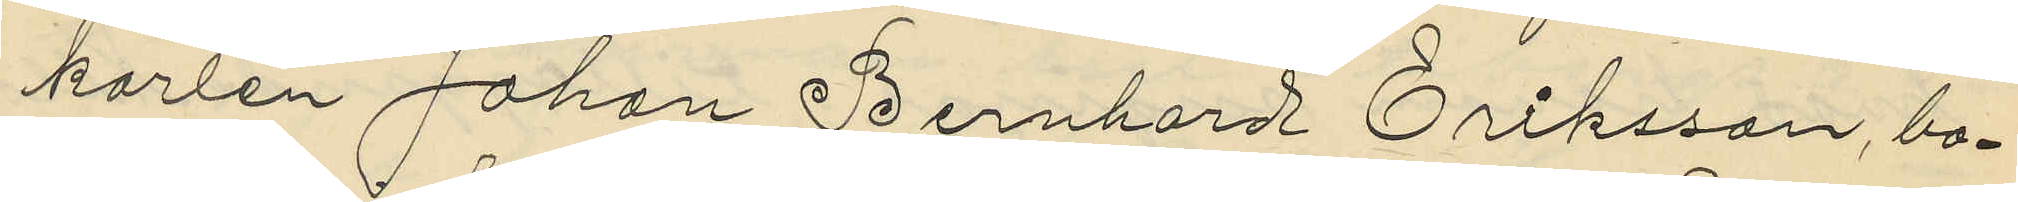karlen Johan Bernhard Eriksson, bo¬
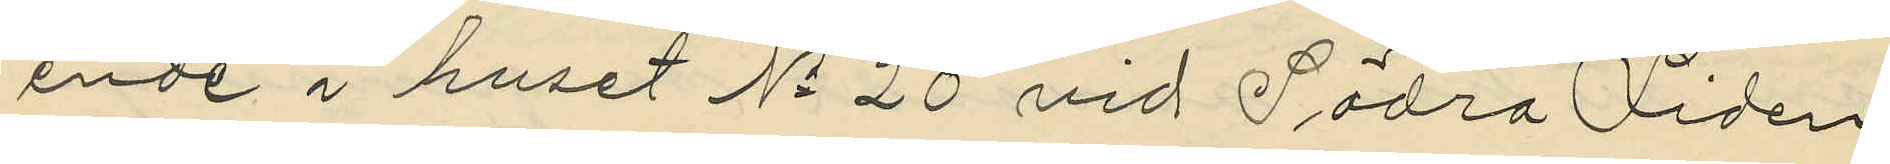ende i huset No 20 vid Södra liden
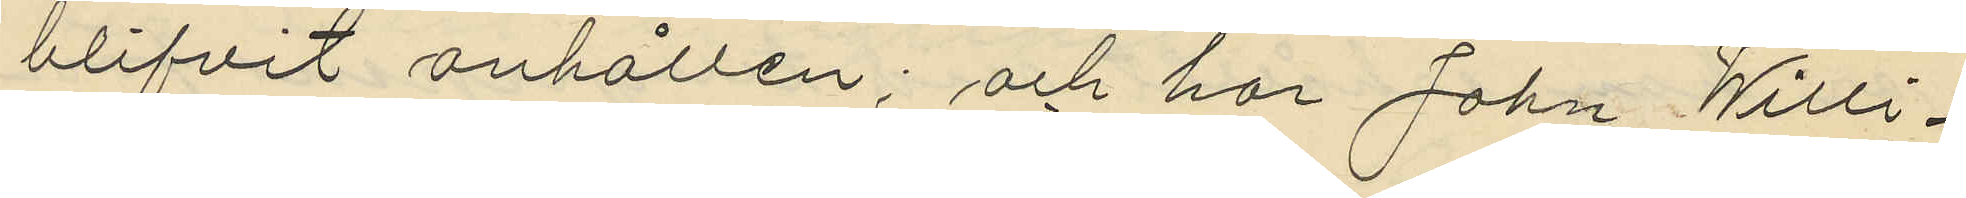blifvit anhållen; och har John Willi¬
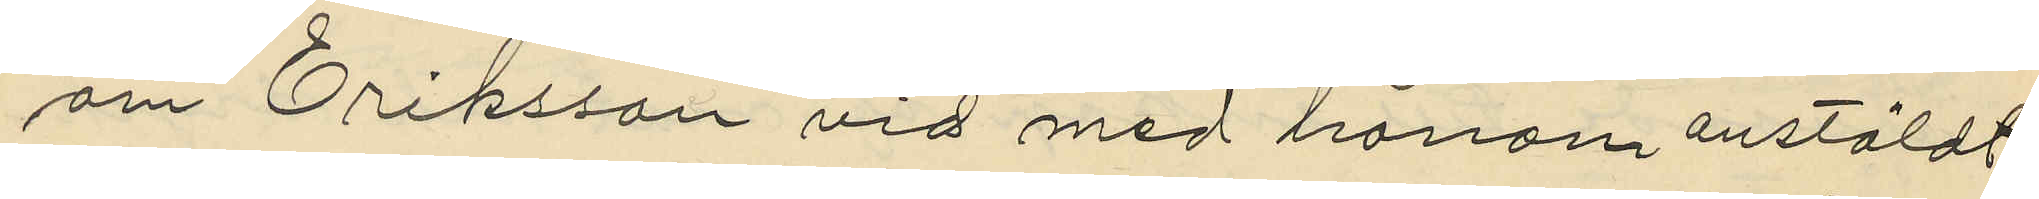am Eriksson vid med honom anstäldt
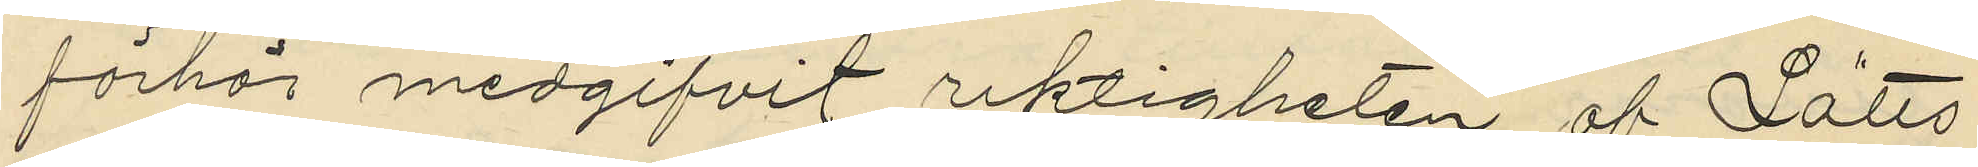förhör medgifvit riktigheten af Lätts
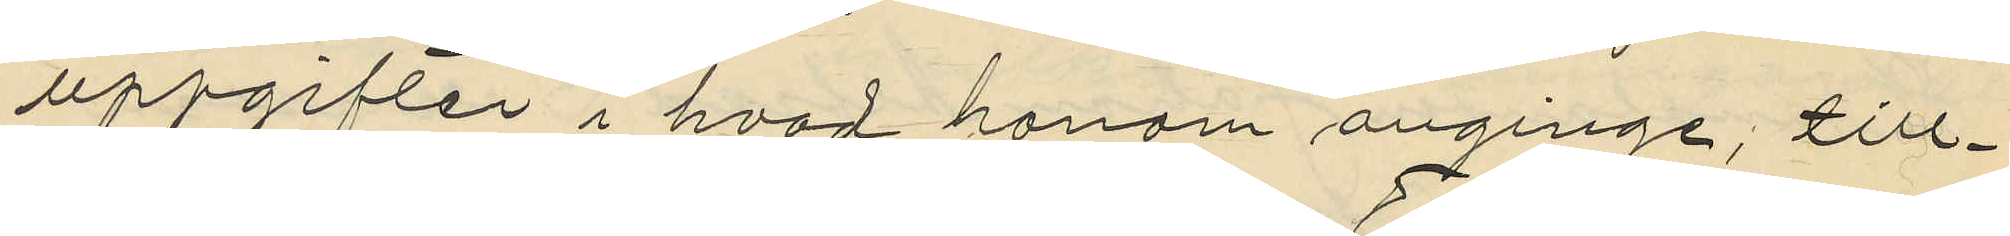uppgifter i hvad honom anginge; till¬
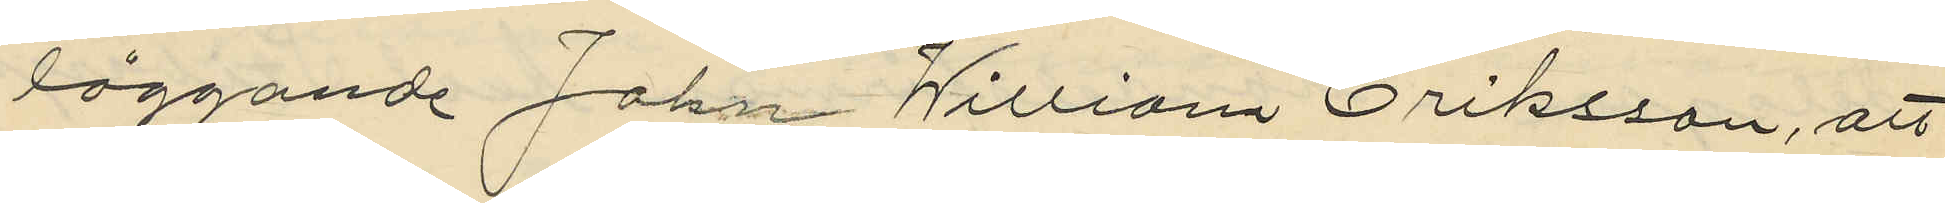läggande John William Eriksson, att
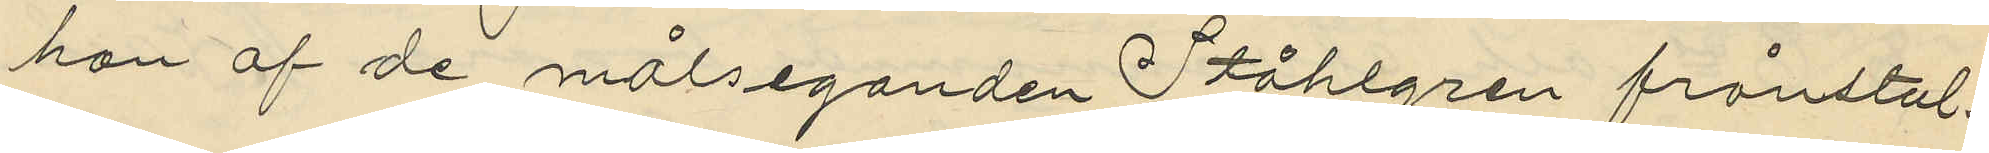han af de målseganden Ståhlgren frånstul¬
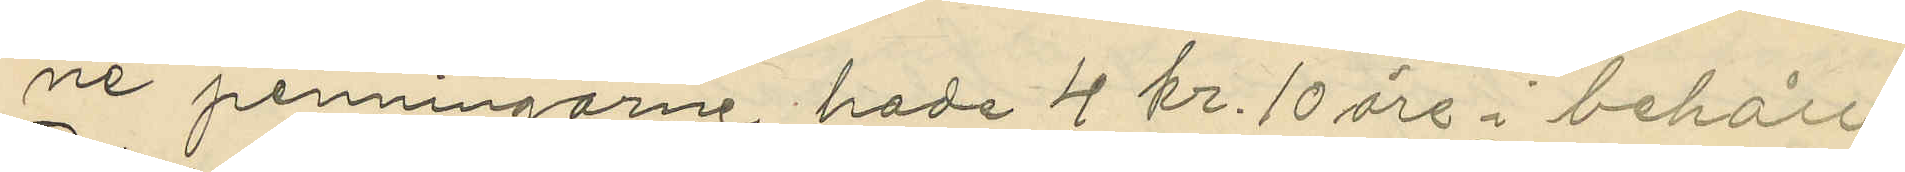ne penningarne hade 4 kr. 10 öre i behåll.
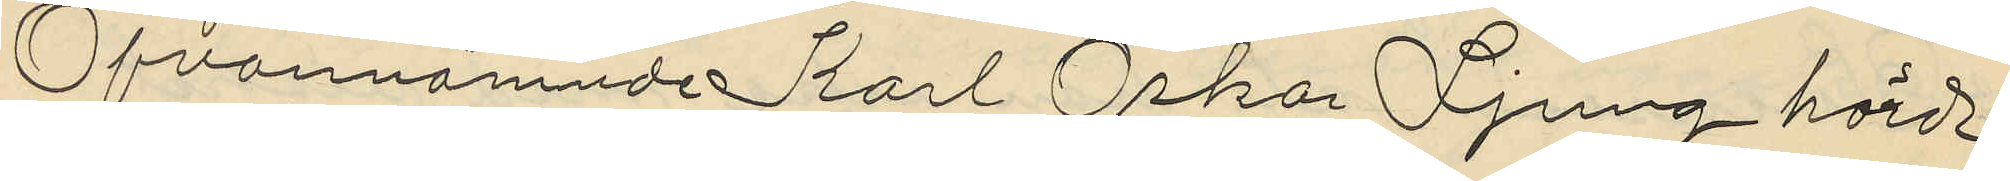Ofvannämnde Karl Oskar Ljung hörd
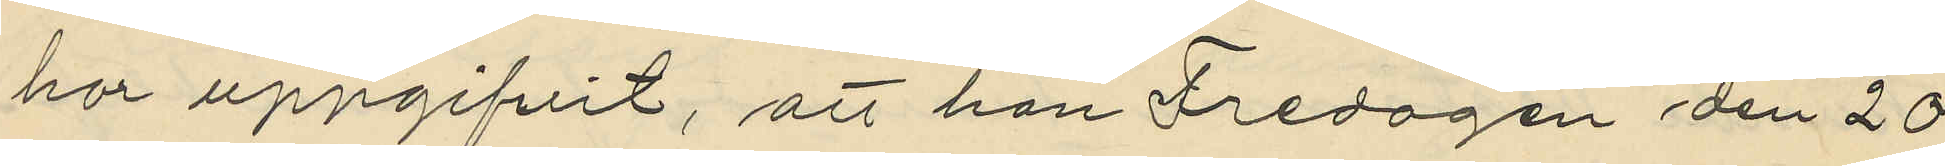har uppgifvit, att han Fredagen den 20
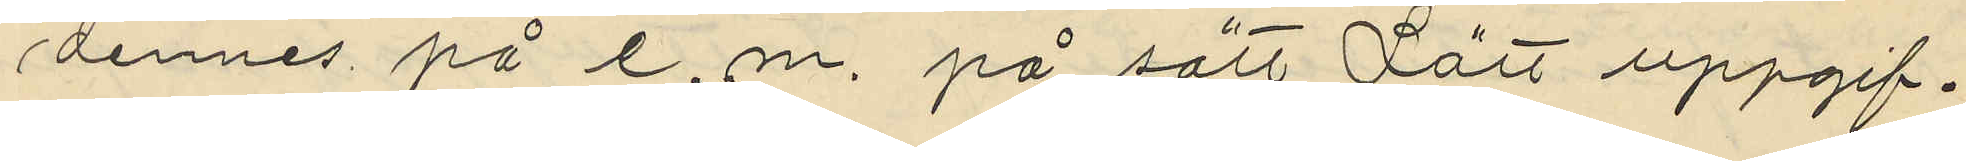dennes på e.m. på sätt Lätt uppgif¬
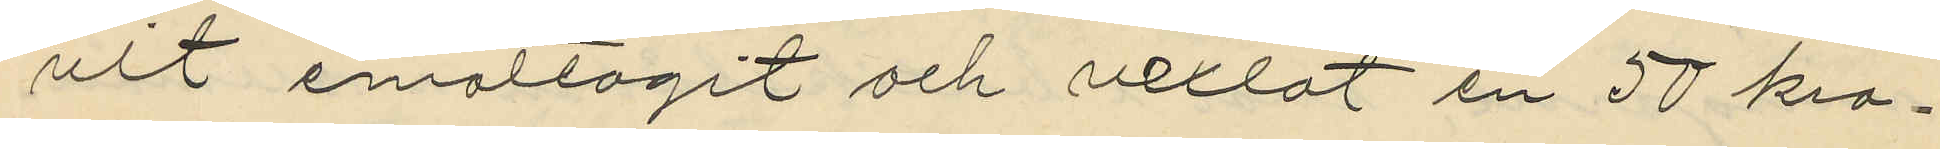vit emottagit och vexlat en 50 kro¬
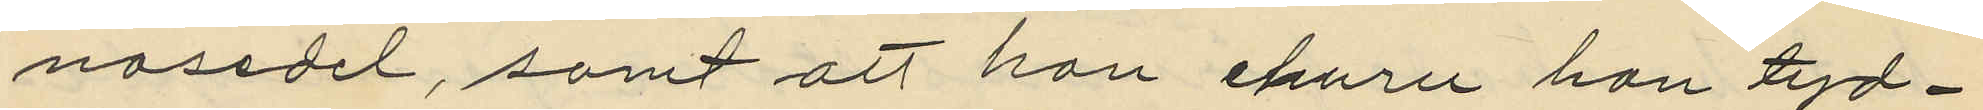nosedel, samt att han ehuru han tyd¬
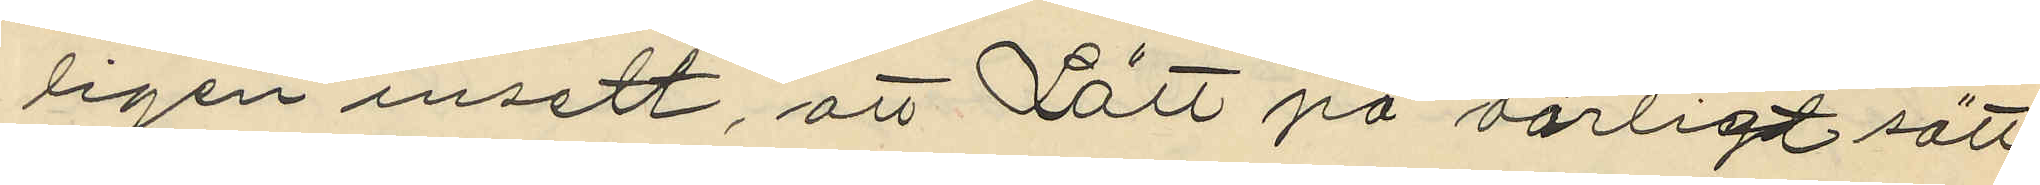ligen insett, att Lätt på oärligt sätt
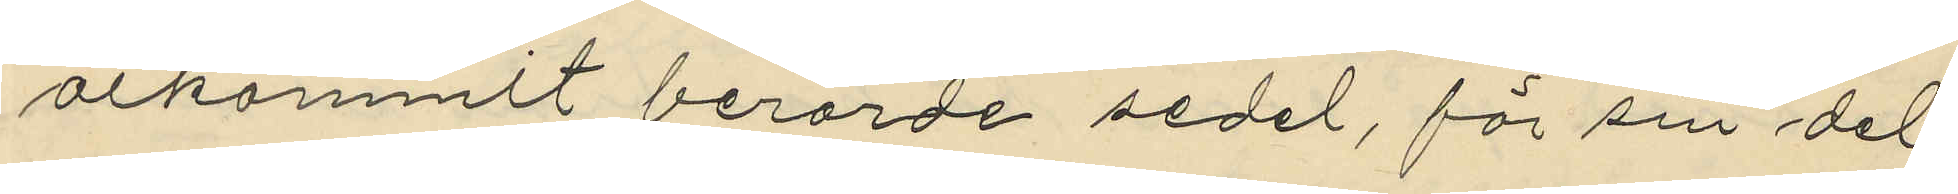åtkommit berörde sedel, för sin del
